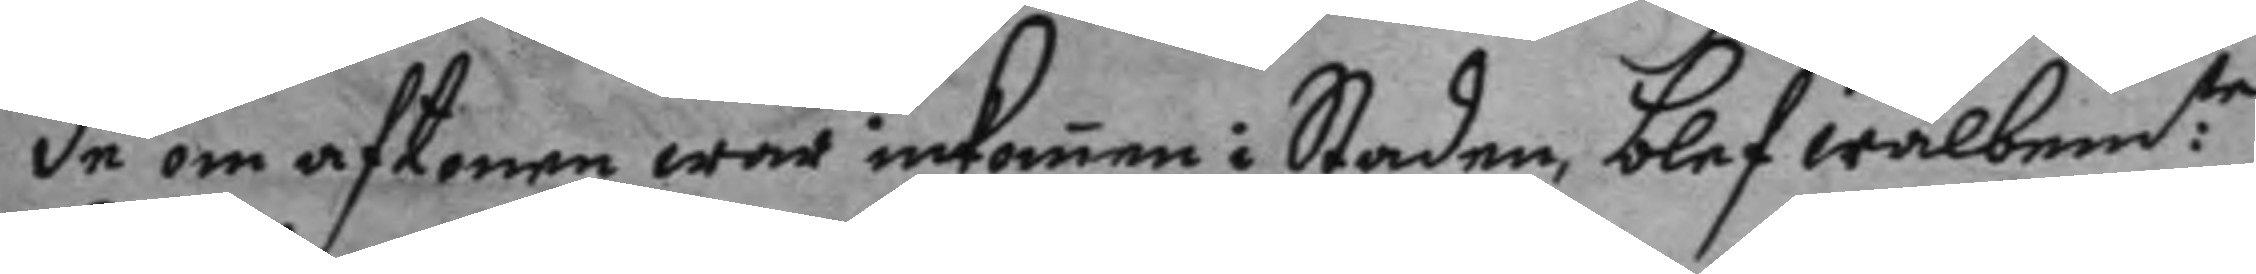de om aftonen war inkomen i Staden, blef wälbem:te
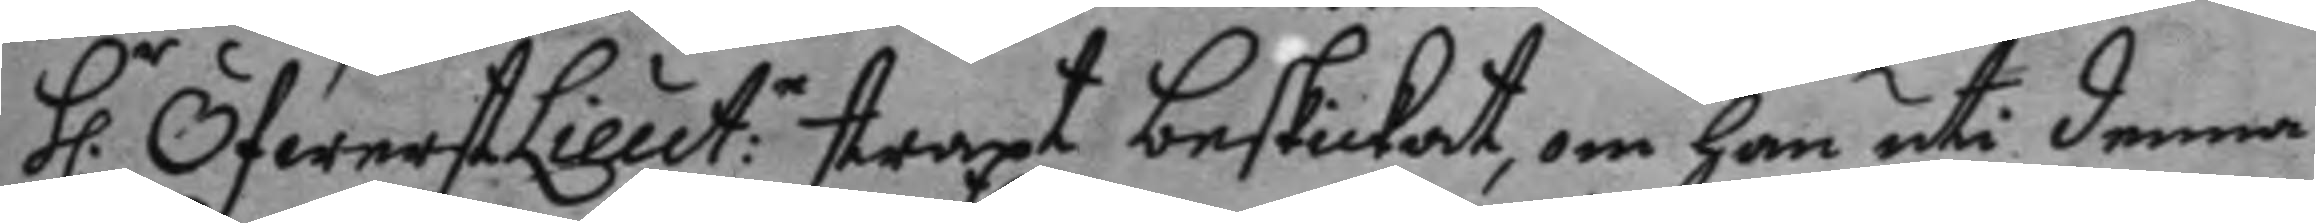h.r ÖfwerstLieut:n straxt beskickat, om han uti denna
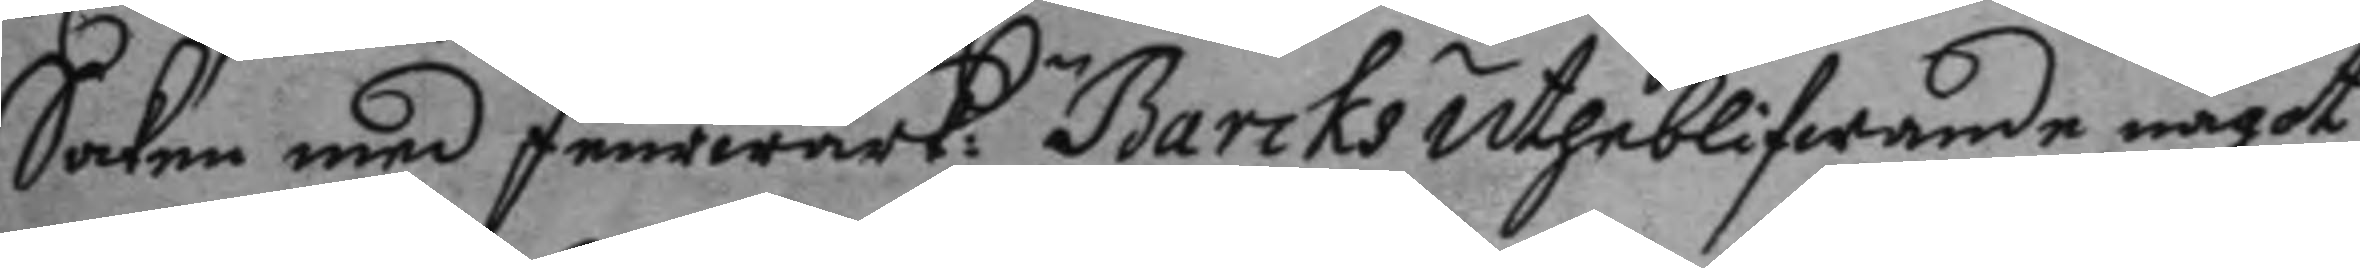Saken med feurwärk:n Barcks utheblifwande något
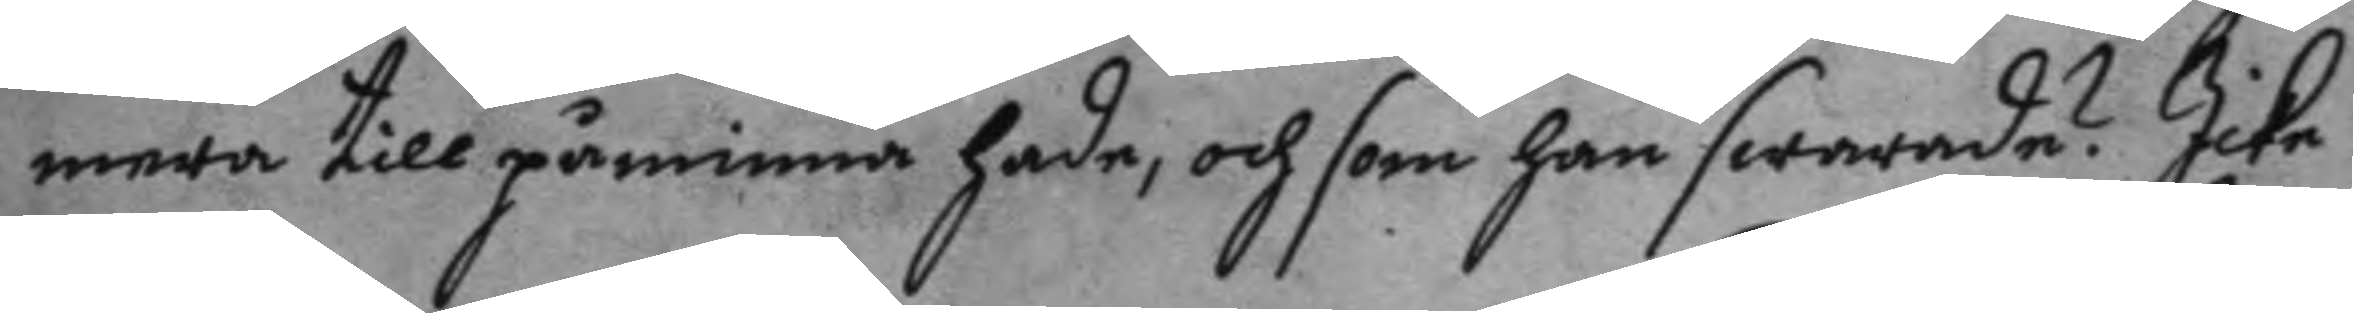mera till påminna hade, och som han swarade? Icke
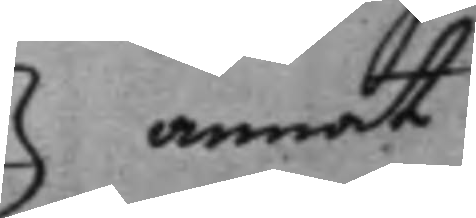annat
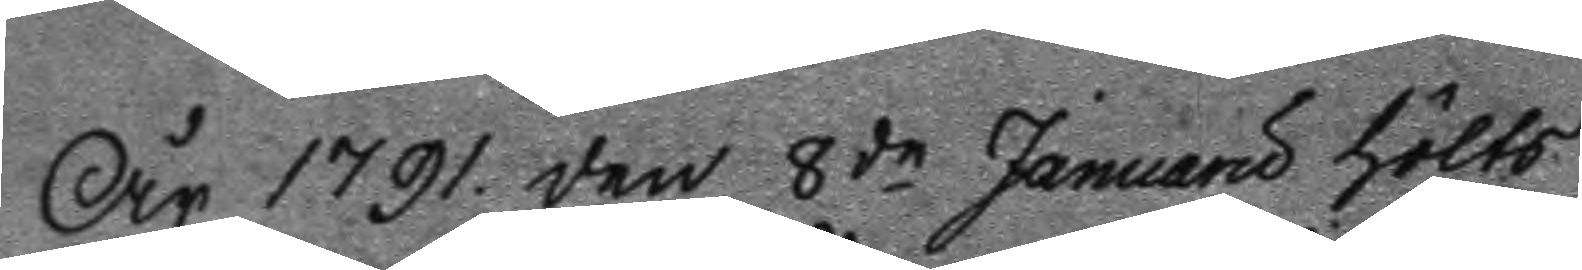År 1791 den 8de Januaru hölts
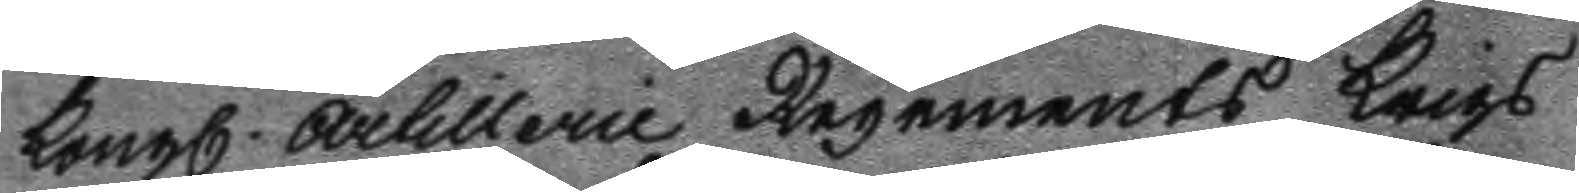Kongl. Arlillerie Regements Krigs 
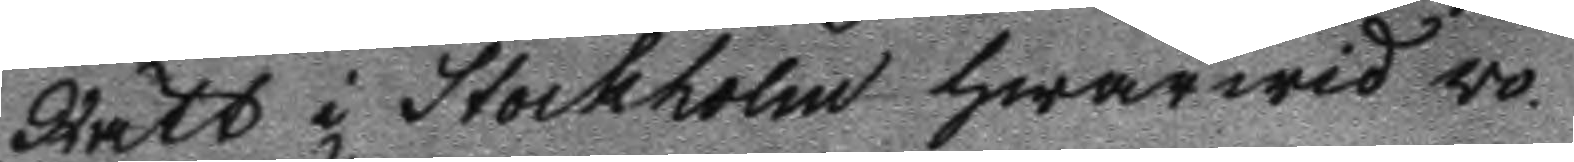Rätt i Stockholm hwarwid wo¬
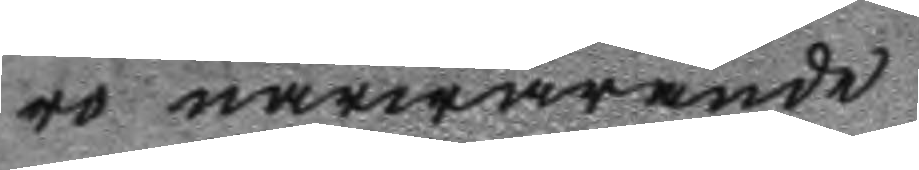ro närwarande.
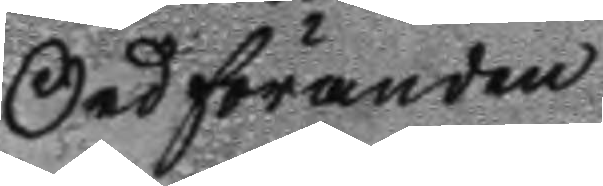Ordföranden
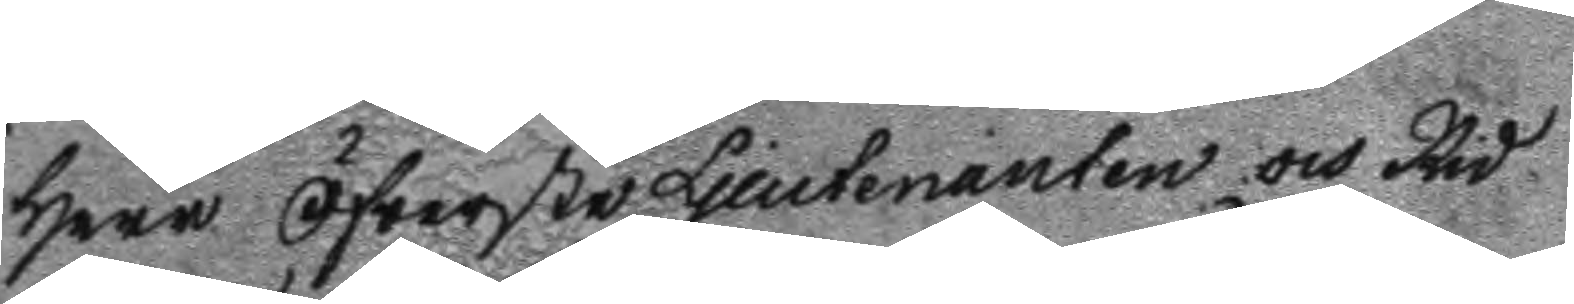Herr öfwerste Lieutenanten och Rid¬
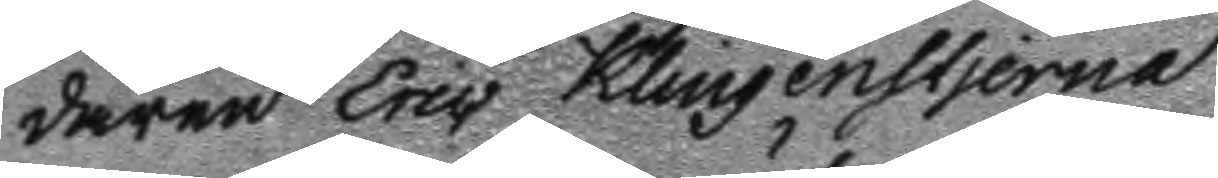daren Eric Klingenstjerna
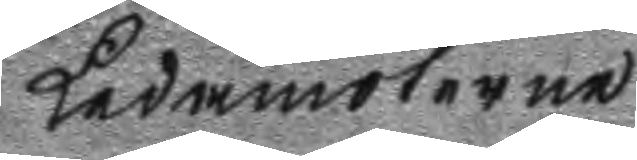Ledamöterne
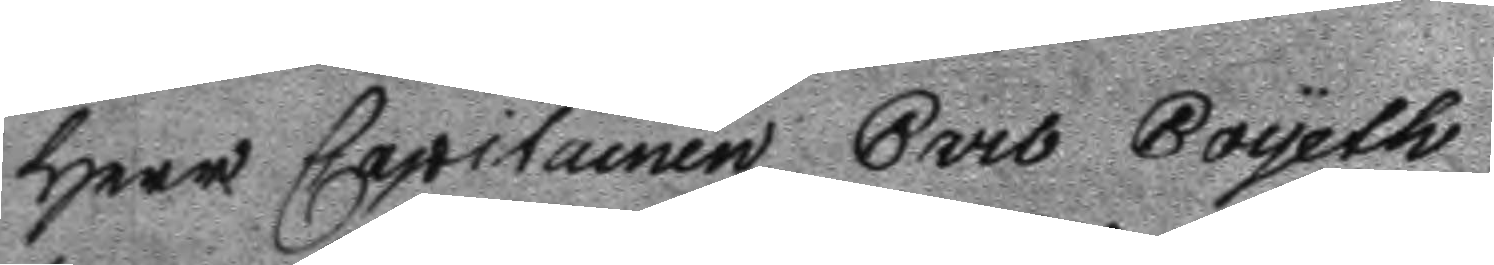Herr Capitainen Carl Boyeth 
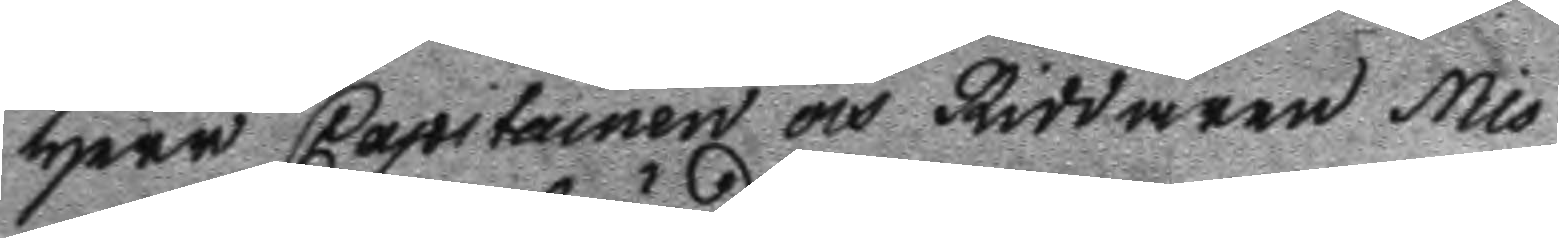Herr Capitainen och Riddaren Nis¬
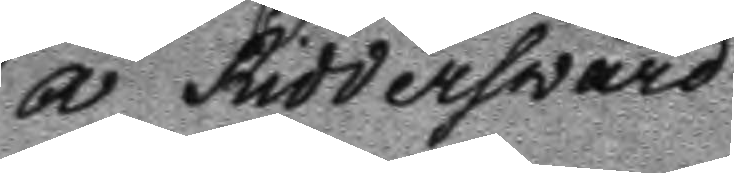a Riddersvärd
